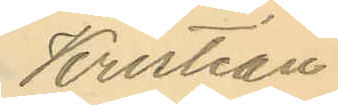Kristian
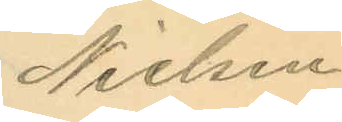Nielsen
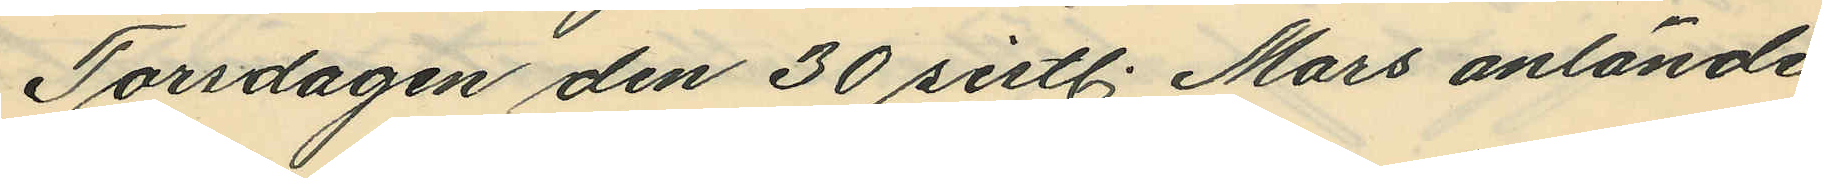Torsdagen den 30 sistl. Mars anlände
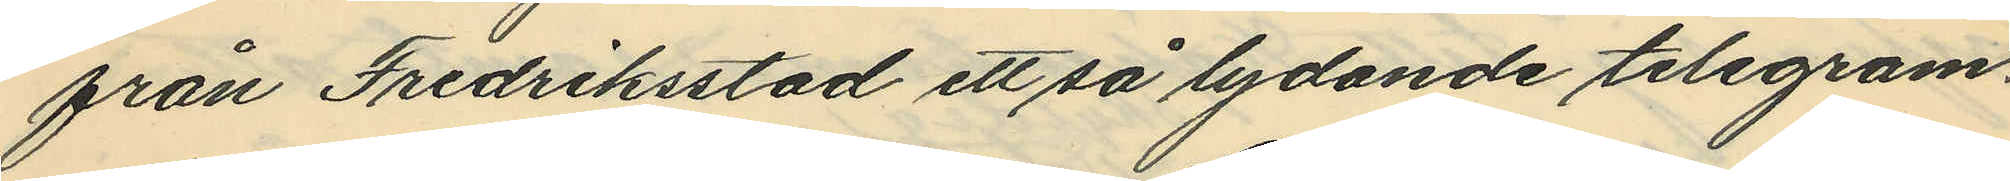från Fredriksstad ett så lydande telegram.
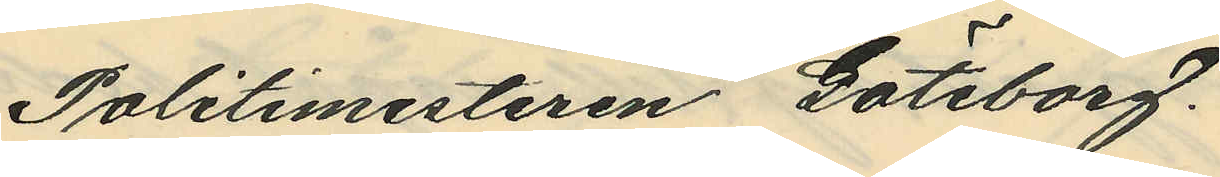Politimesteren Göteborg.
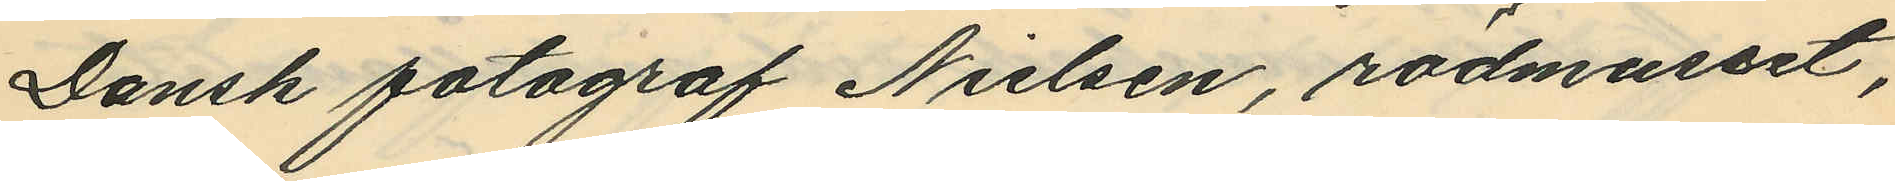Dansk fotograf Nielsen, rödmusset,
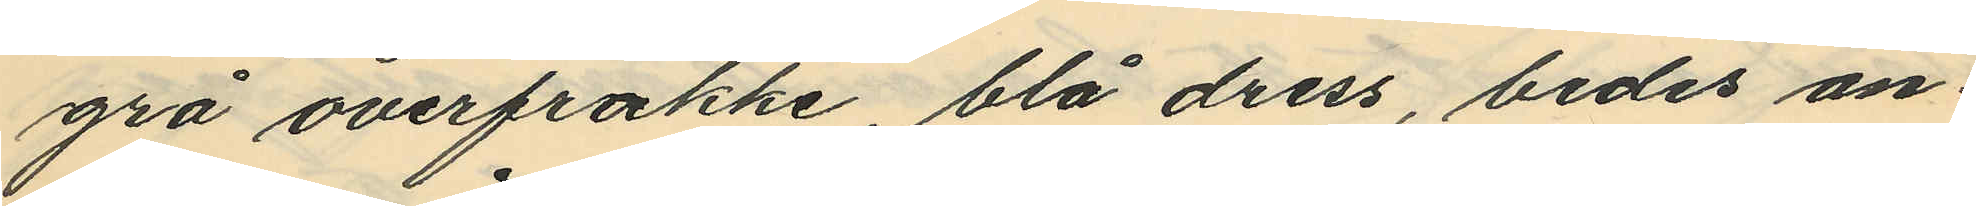grå overfrakke, blå dress, bedes an¬
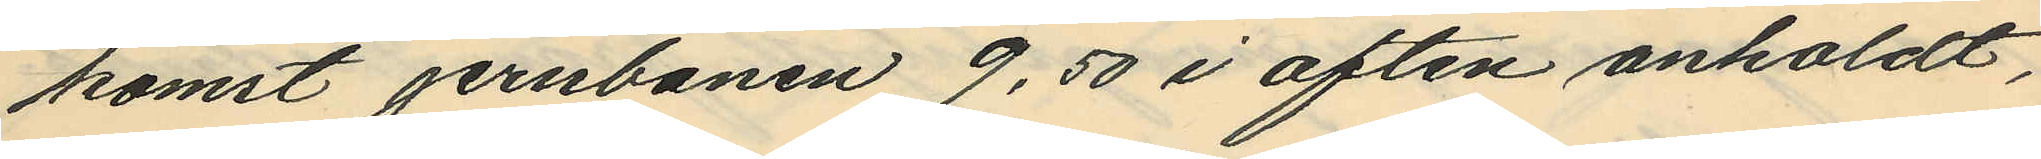komst jernbanen 9,50 i aften anholdt,
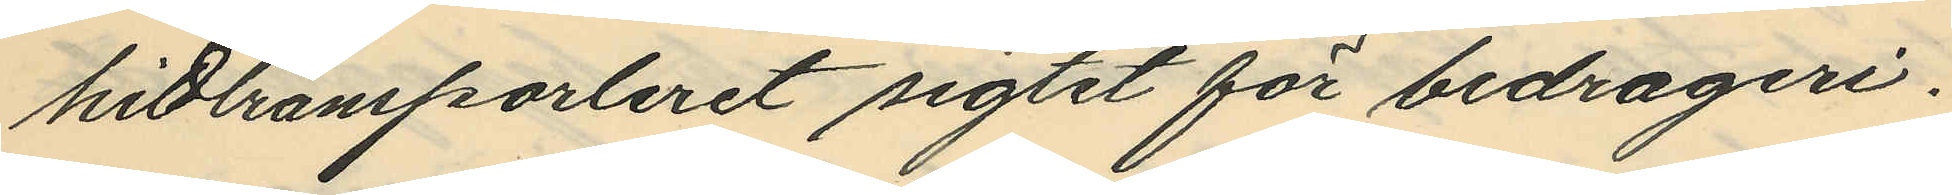hidtransporteret sigtet för bedrageri.
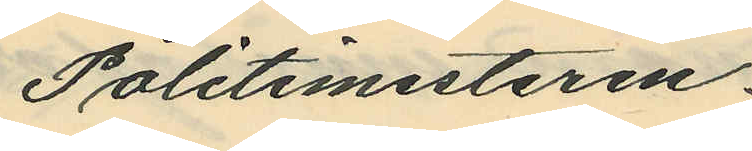Politimesteren.
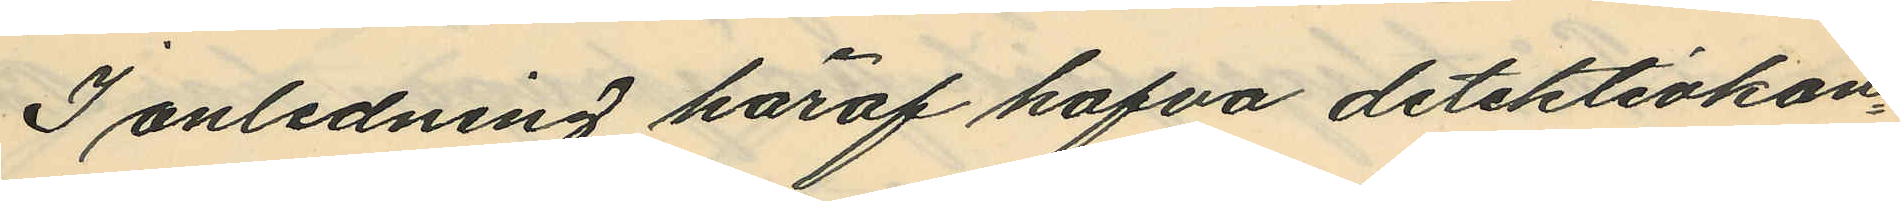I anledning häraf hafva detektivkon¬
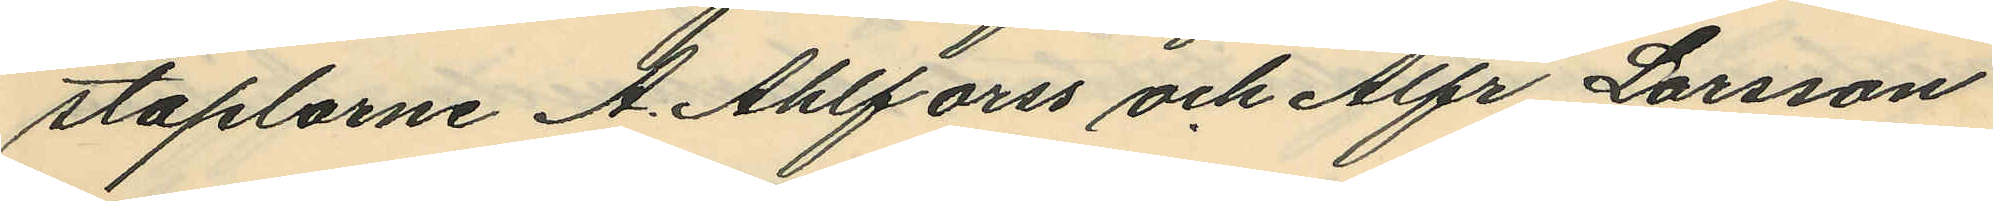staplarne A. Ahlforss och Alfr Larsson
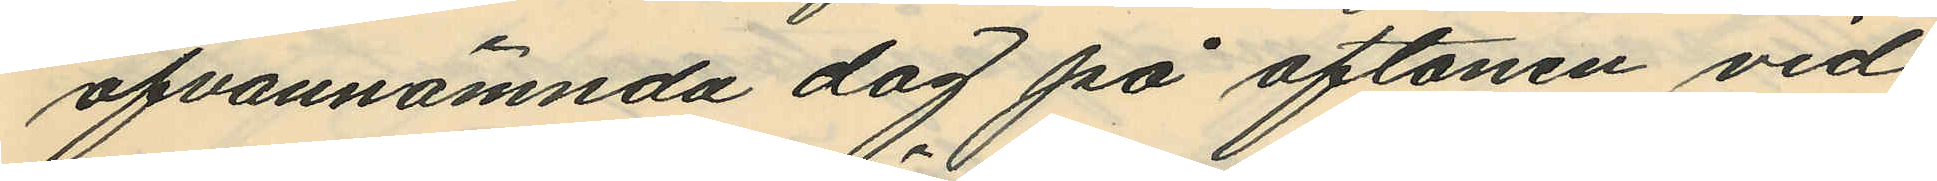ofvannämnda dag på aftonen vid
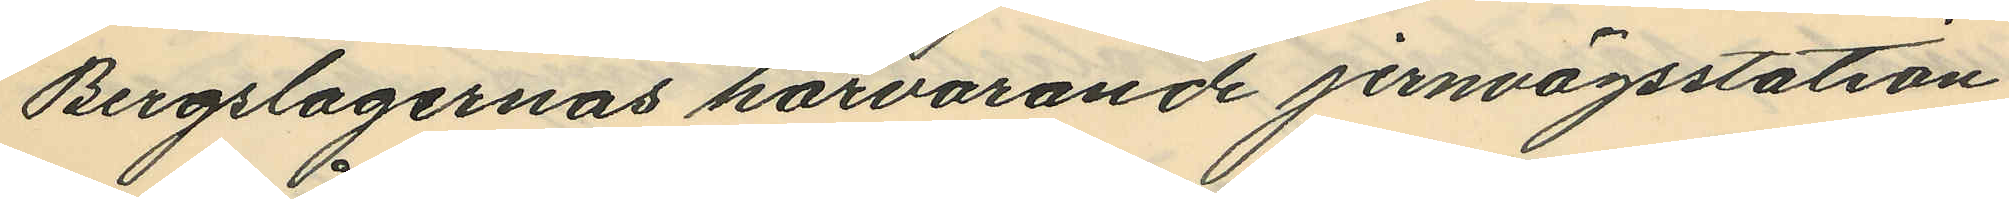Bergslagernas härvarande jernvägsstation
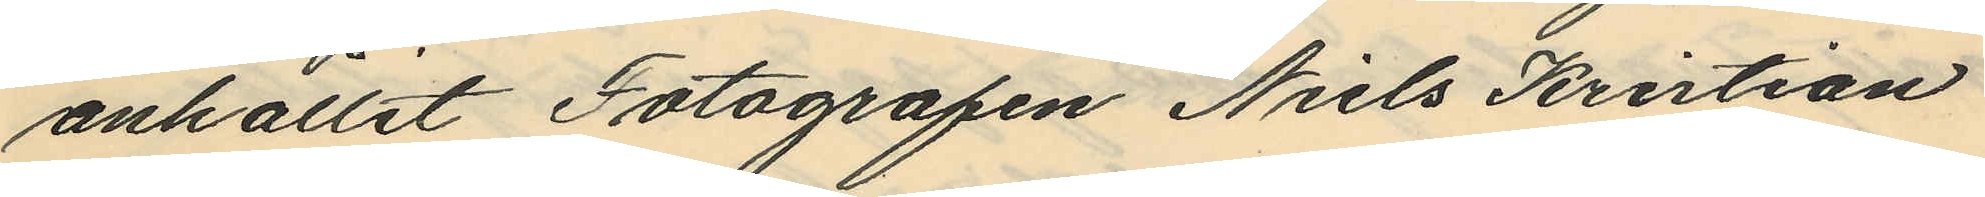anhållit Fotografen Niels Kristian
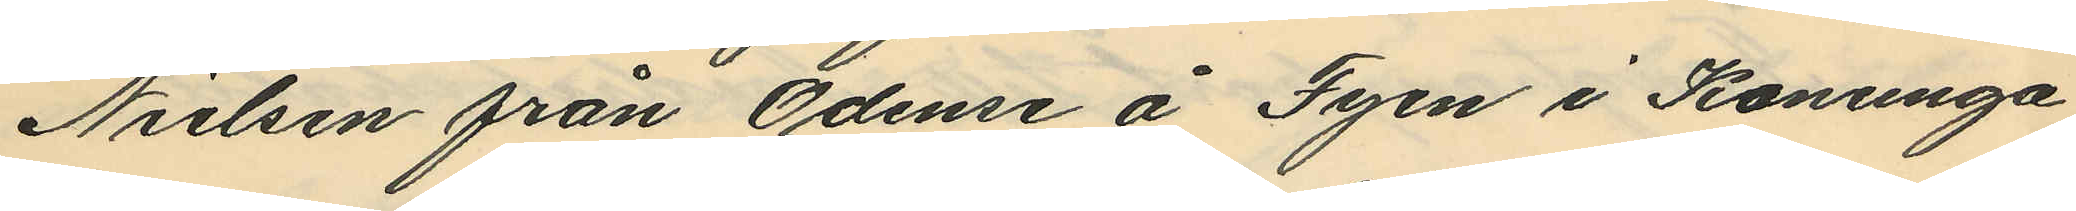Nielsen från Odense å Fyen i Konunga
